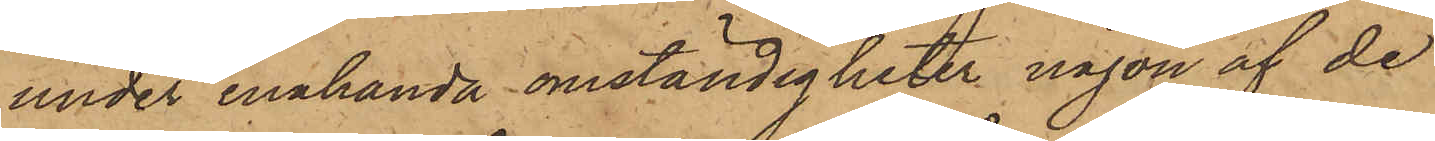under enahanda omständigheter någon af de
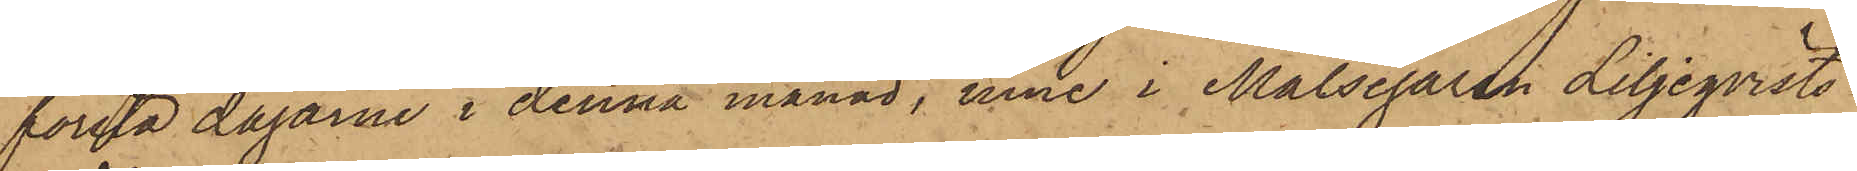första dagarne i denna månad, inne i Målsegaren Liljeqvists
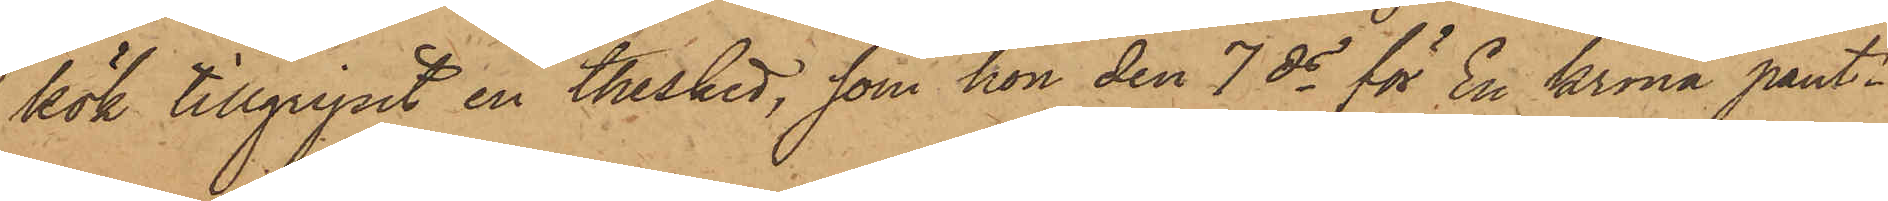kök tillgripit en thesked, som hon den 7 ds för En Krona pant¬
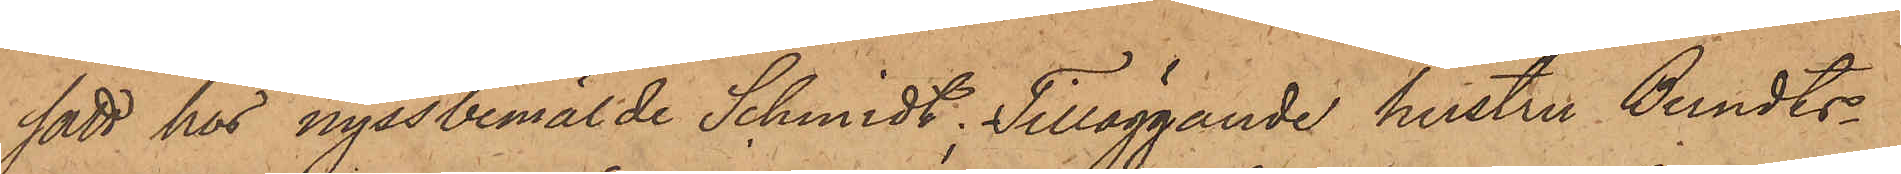satt hos nyssbemälde Schmidt; tilläggande hustru Berndts¬
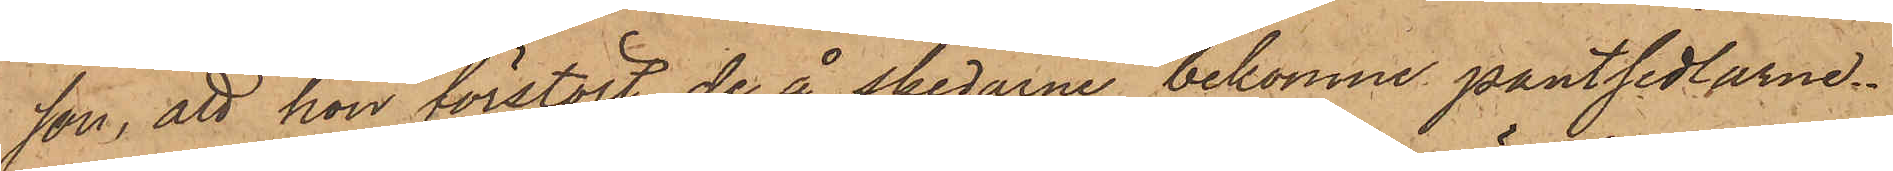son, att hon förstört de å skedarne bekomne pantsedlarne.
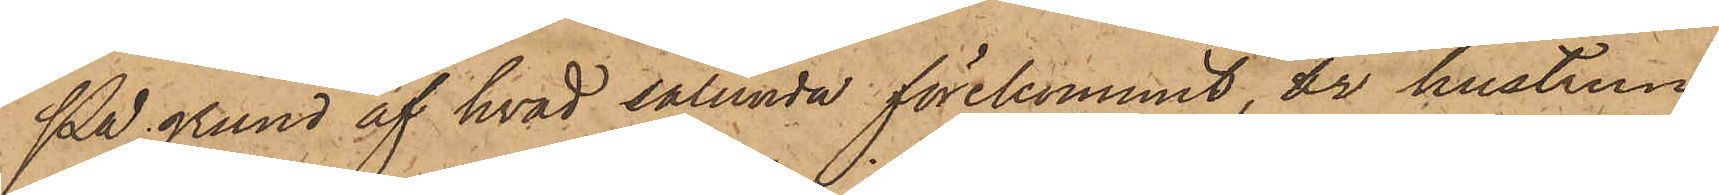På grund af hvad sålunda förekommit, är hustrun
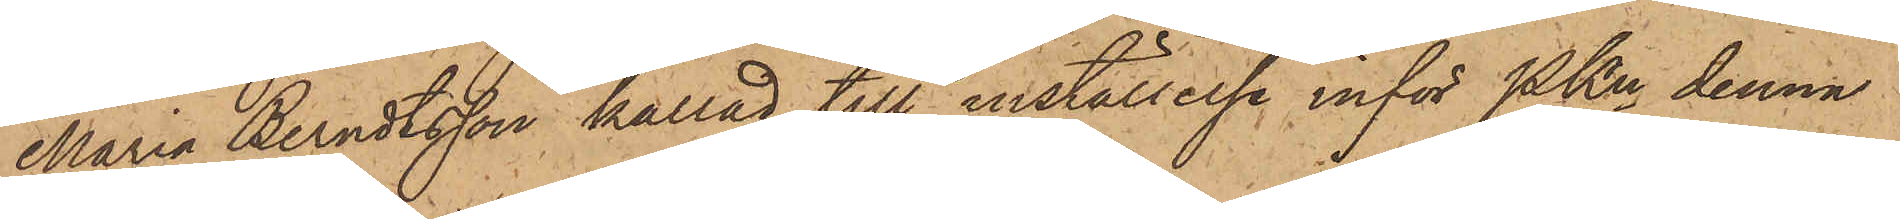Maria Berndtsson kallad till inställelse inför Pkn denna
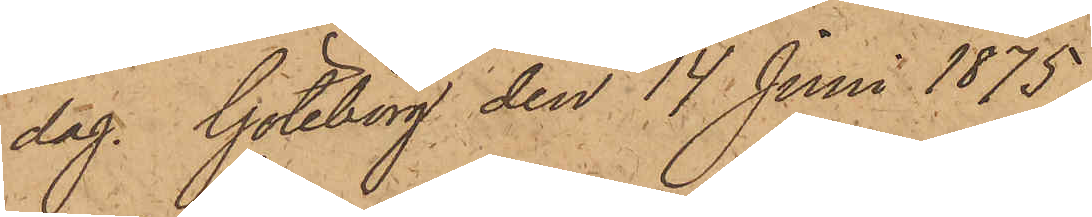dag. Göteborg den 14 Juni 1875.
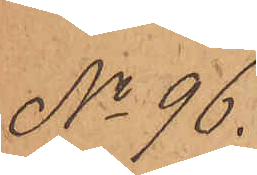No 96.
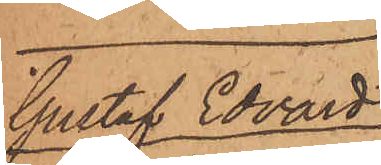Gustaf Edvard
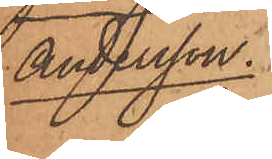Andersson.
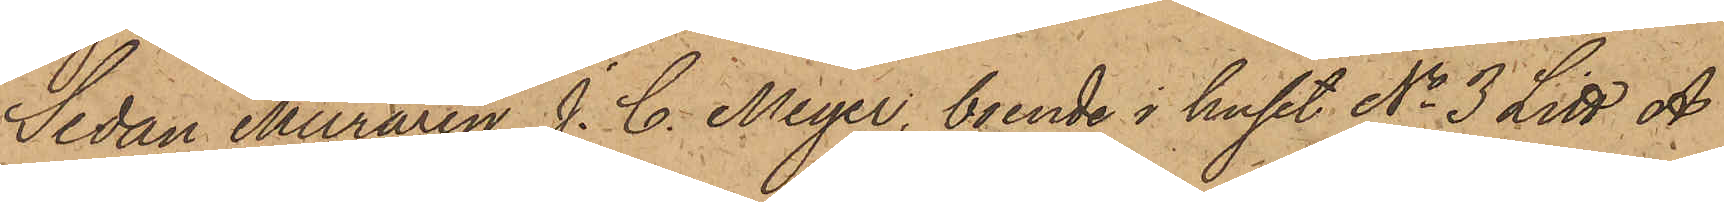Sedan Muraren J. C. Meyer, boende i huset No 3 Litt A
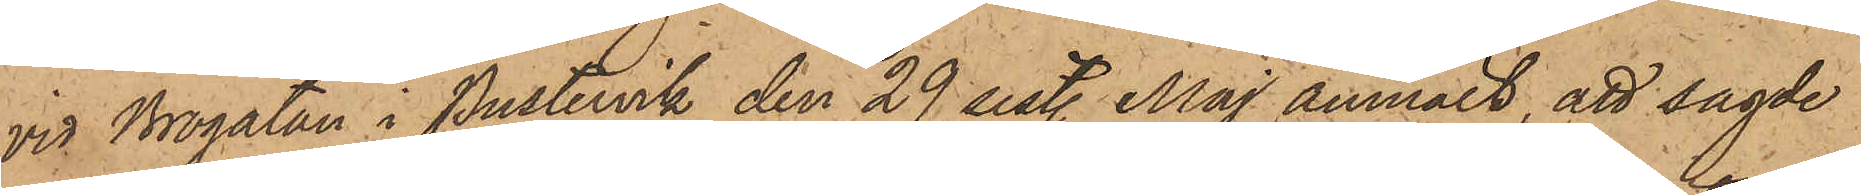vid Brogatan i Pustervik den 29 sist. Maj anmält, att sagde
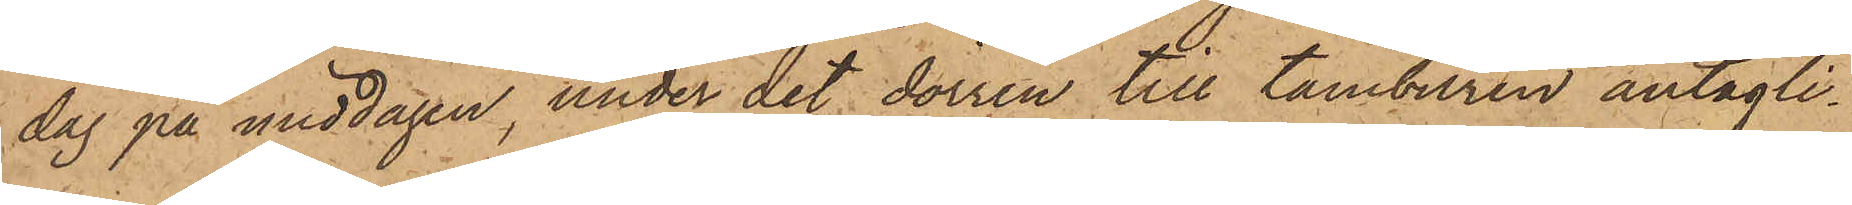dag på middagen, under det dörren till tamburen antagli¬
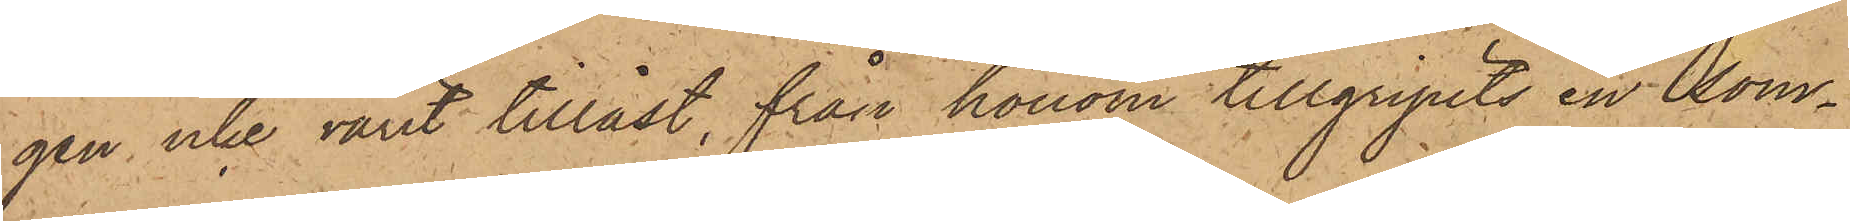gen icke varit tillåst, från honom tillgripits en som¬
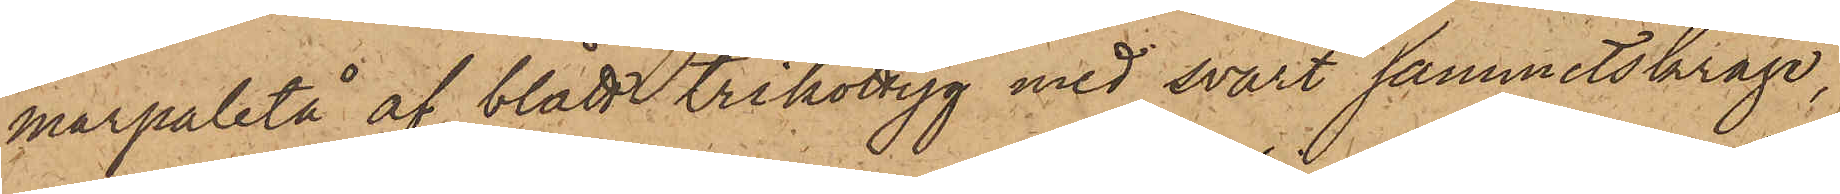marpaletå af blått trikottyg med svart sammetskrage,
